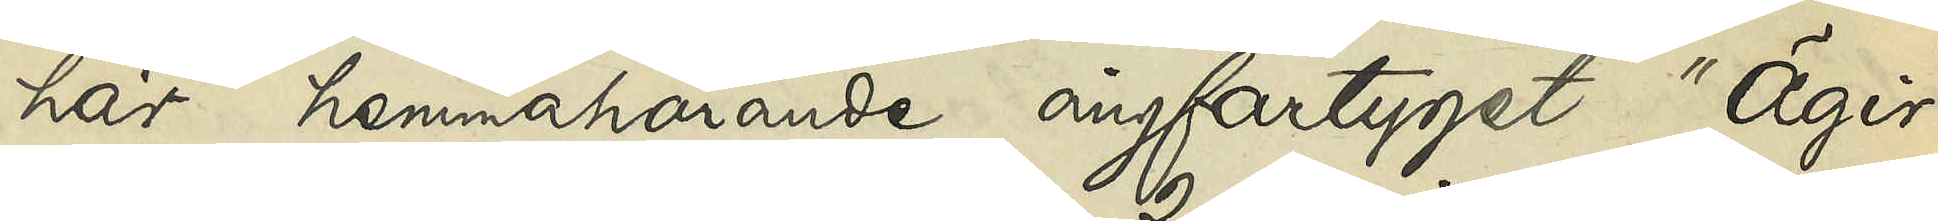här hemmahörande ångfartyget "Ägir"
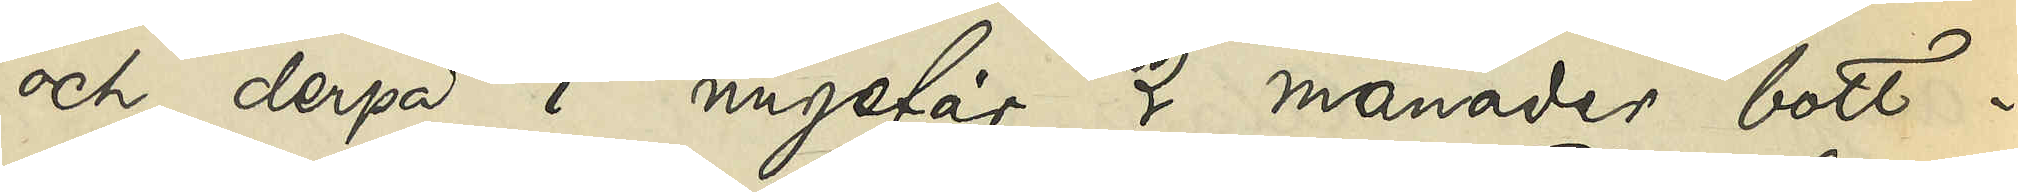och derpå i ungefär 2 månader bott i
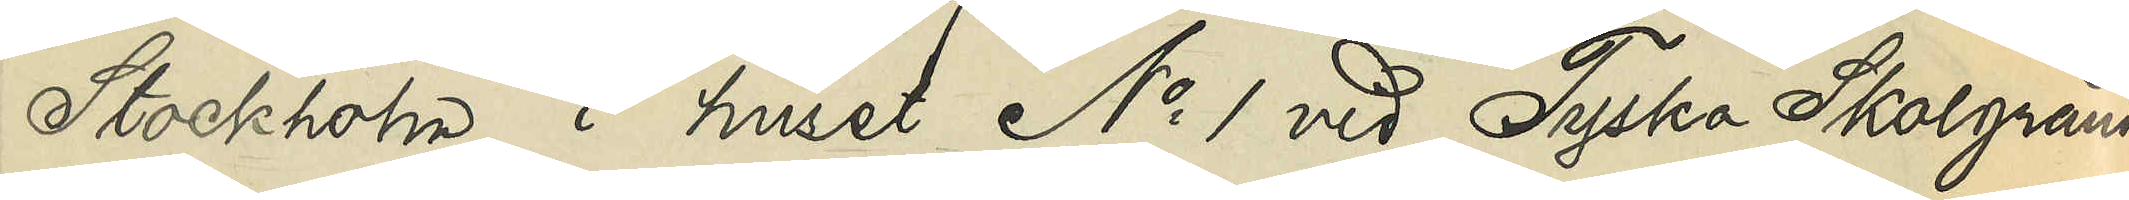Stockholm i huset No 1 vid Tyska Skolgränden
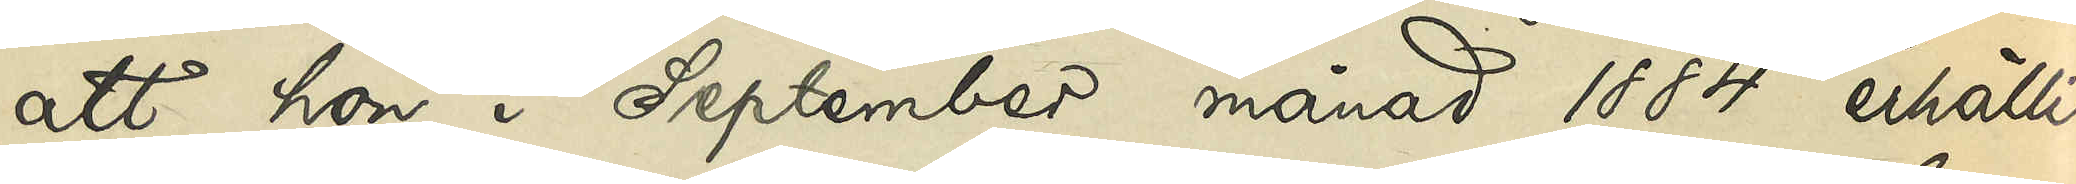att hon i September månad 1884 erhållit
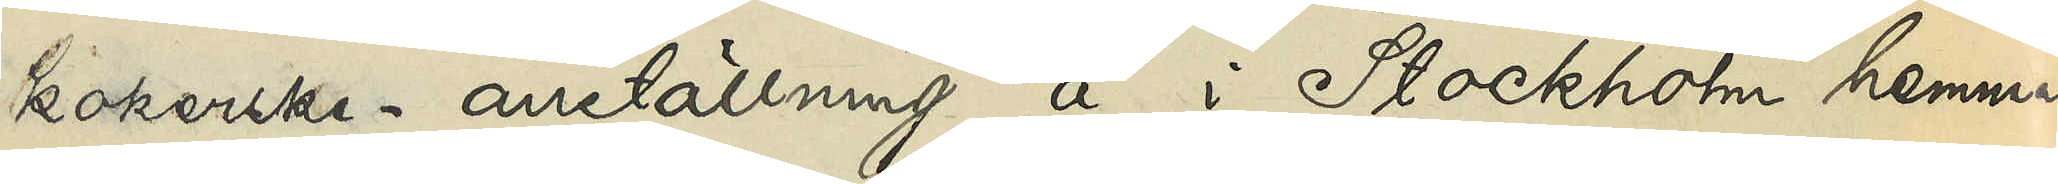kokerske- anställning å i Stockholm hemma¬
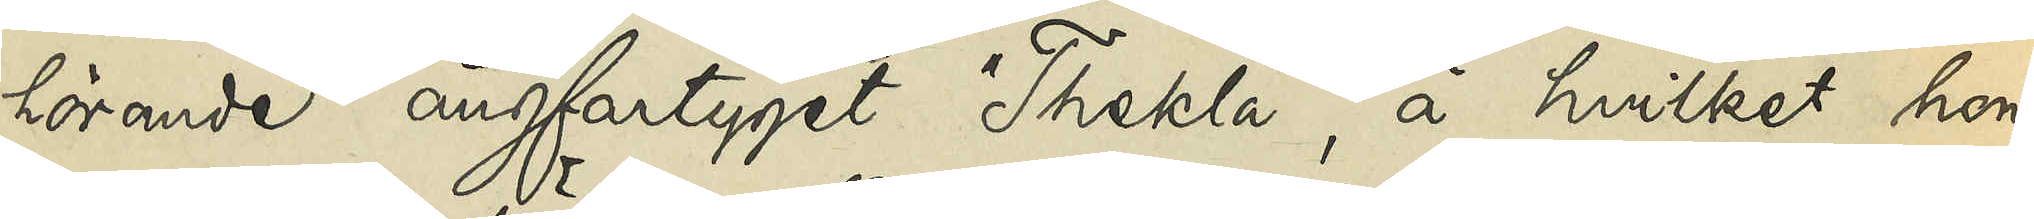hörande ångfartyget "Thekla", å hvilket hon
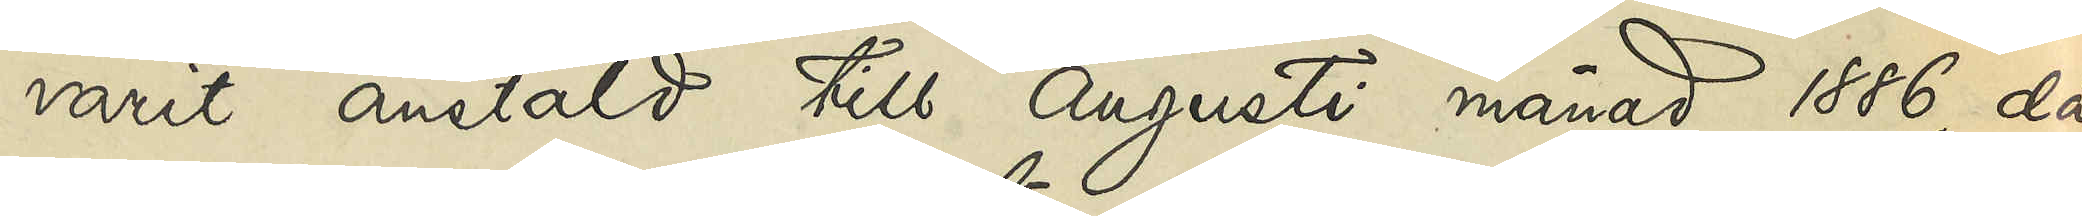varit anstäld till Augusti månad 1886, då
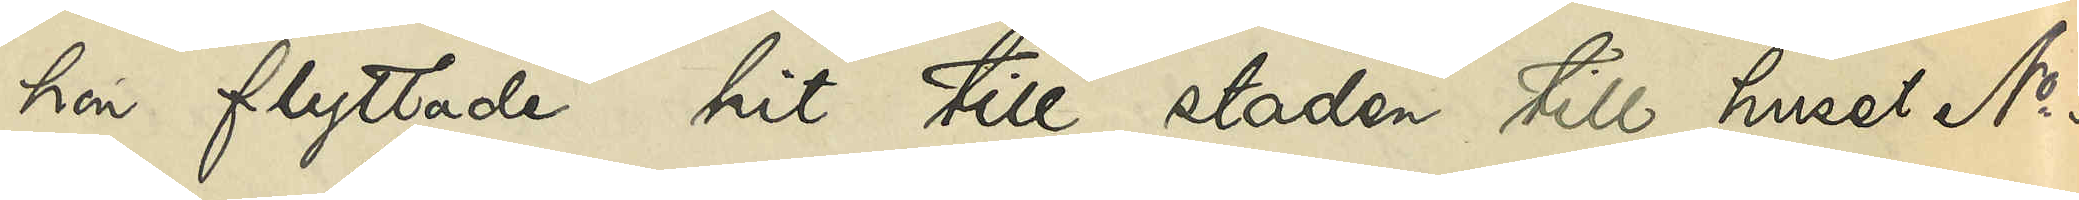hon flyttade hit till staden till huset No 3
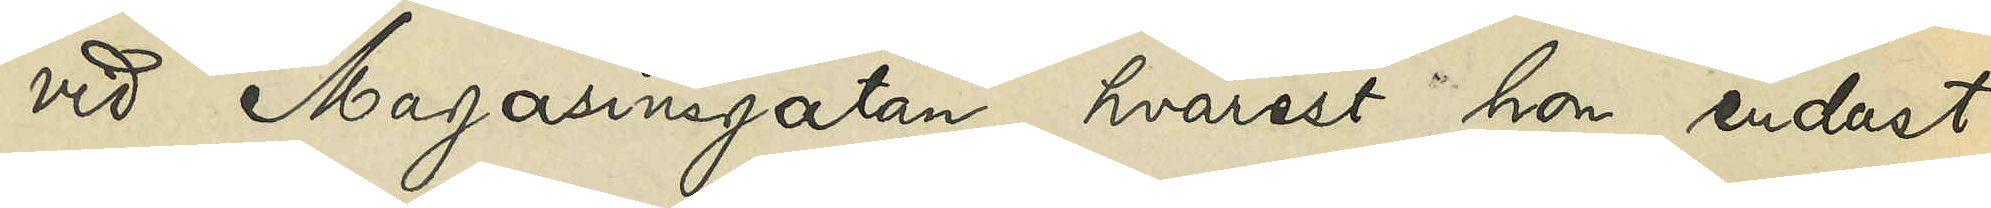vid Magasinsgatan, hvarest hon endast
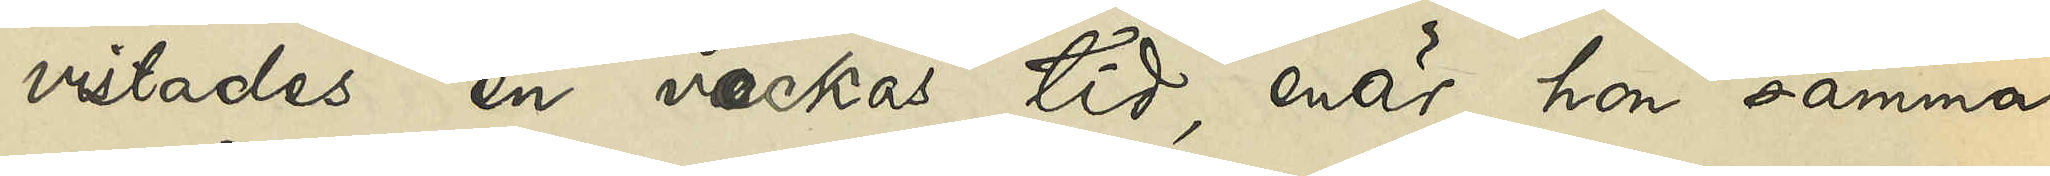vistades en veckas tid, enär hon samma
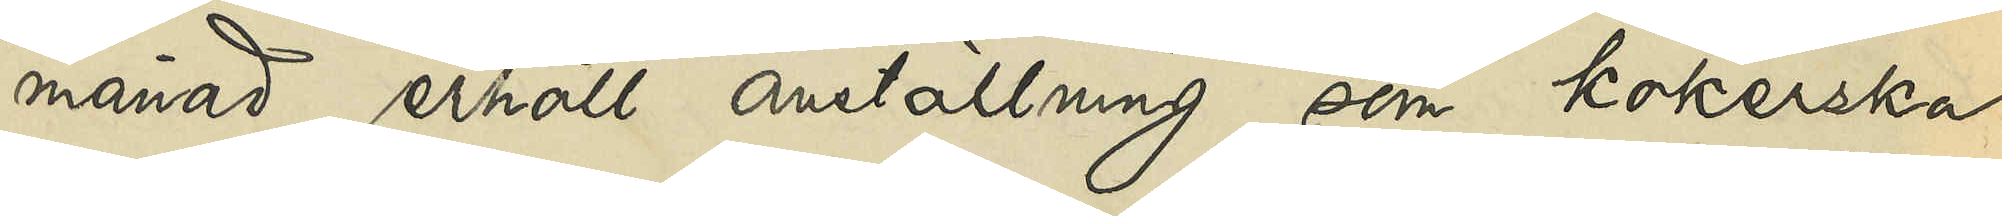månad erhöll anställning som kokerska
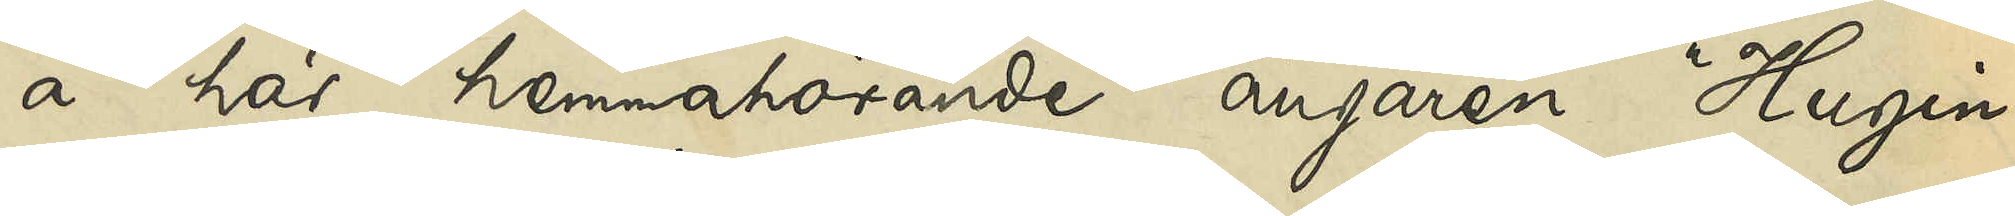å här hemmahörande ångaren "Hugin",
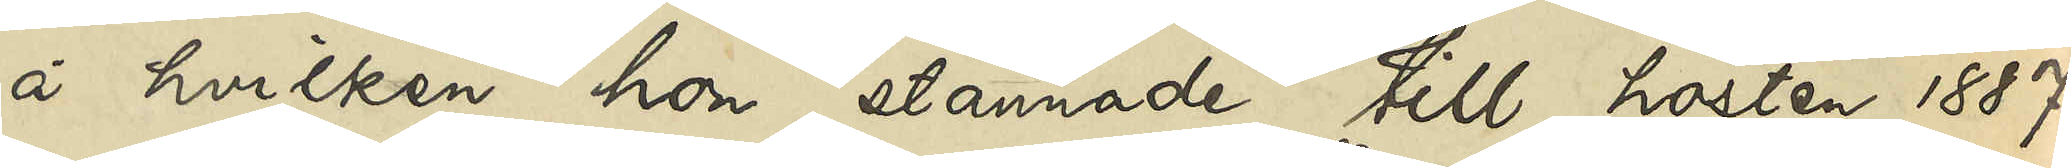å hvilken hon stannade till hösten 1887;
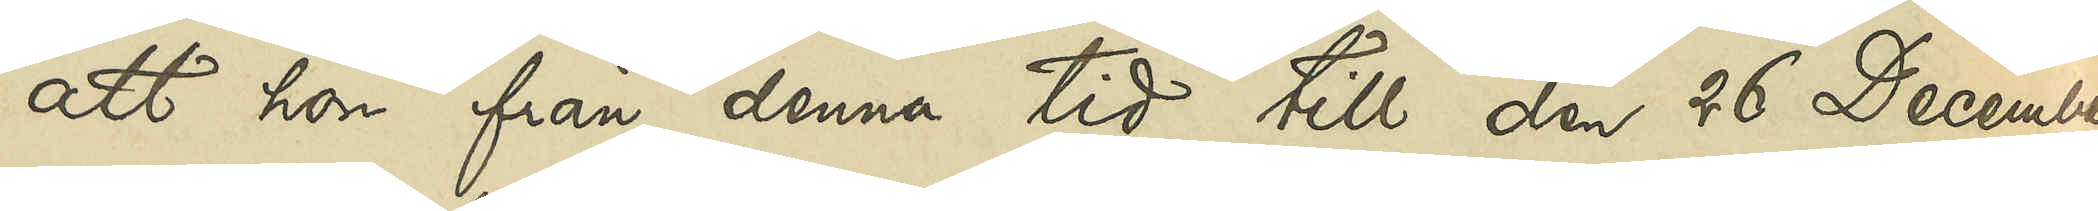att hon från denna tid till den 26 December
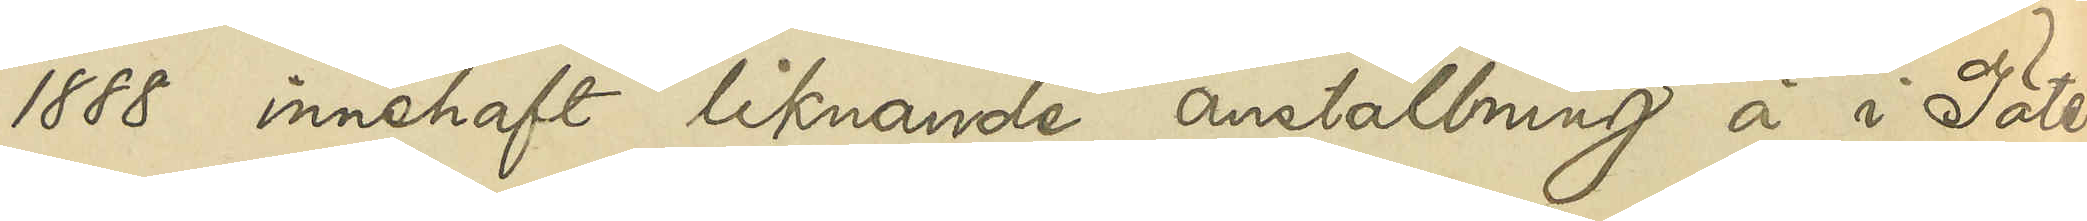1888 innehaft liknande anställning å i Göte¬
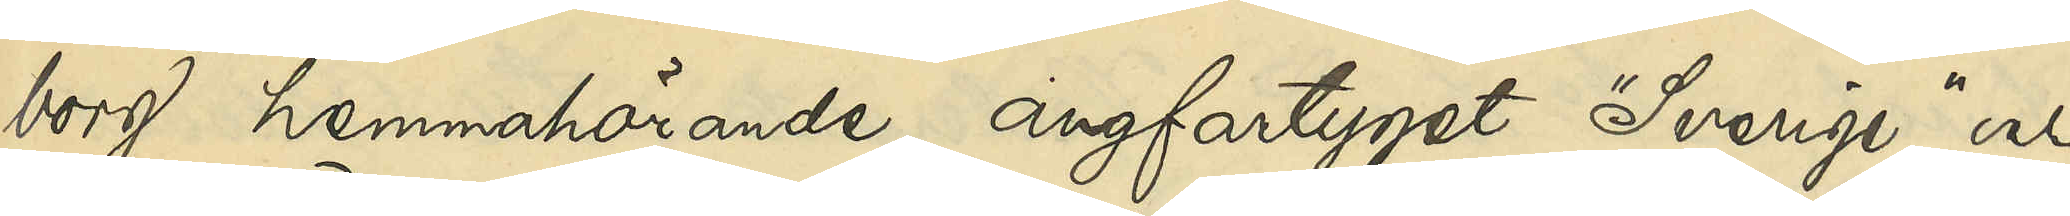borg hemmahörande ångfartyget "Sverige", och
